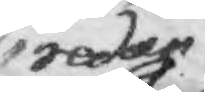redan
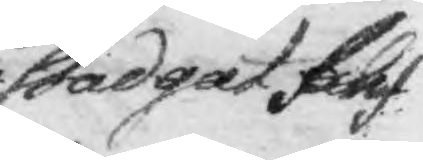stadgat blif¬
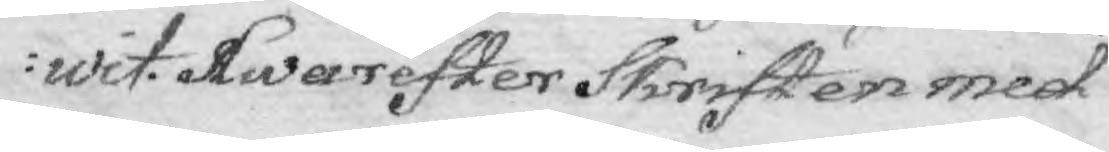wit. Hwarefter Skriften med
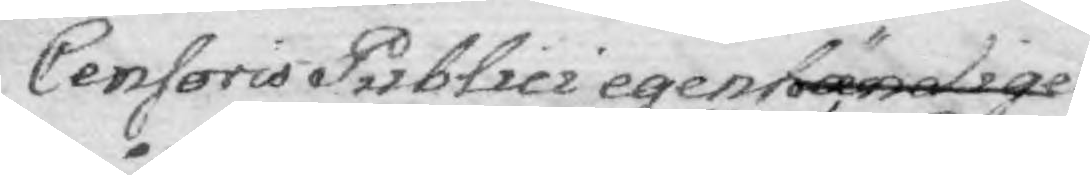Censoris Publici egenhändige
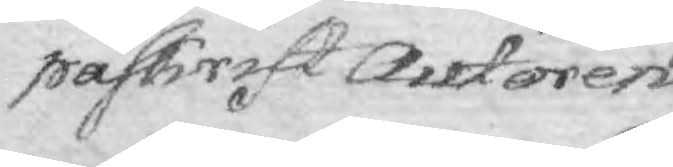påskrift Autoren
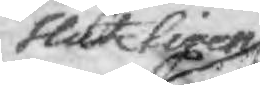slutligen
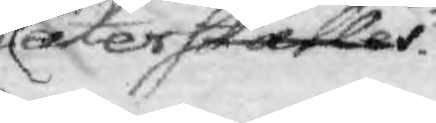åter ställer.
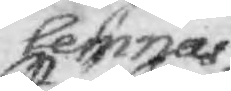lemnas.
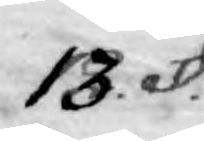13. §.
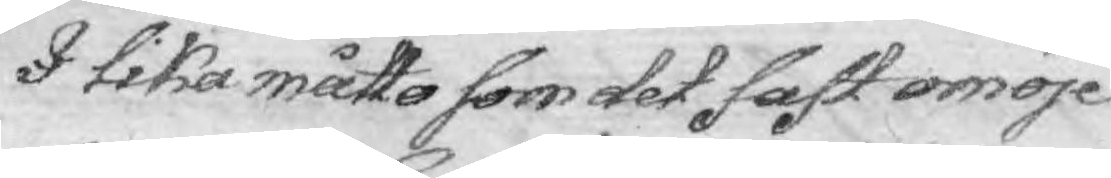I lika måtto som det fast omöje¬
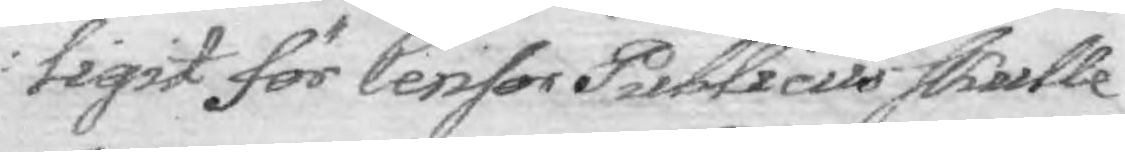tigit för Censor Publicus skulle
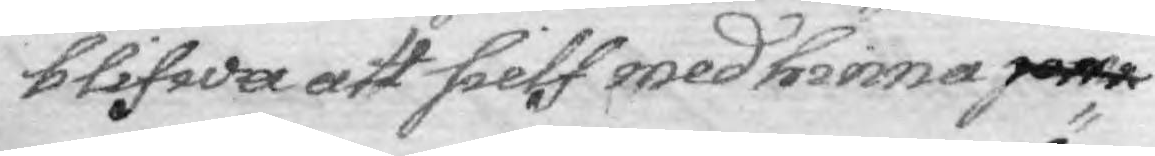blifwa att sielf med hinna jem
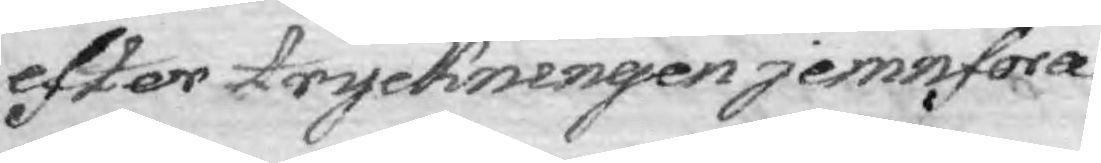efter tryckningen jemnföra
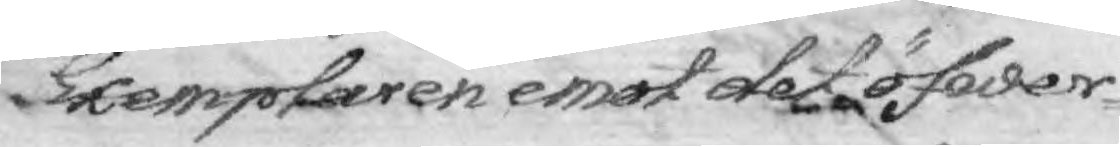Exemplaren emot det öfwer¬
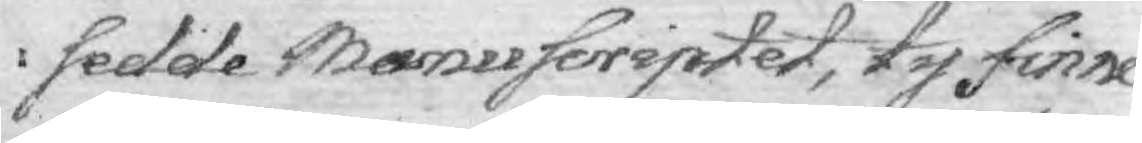sedde Manuscriptet, ty finne
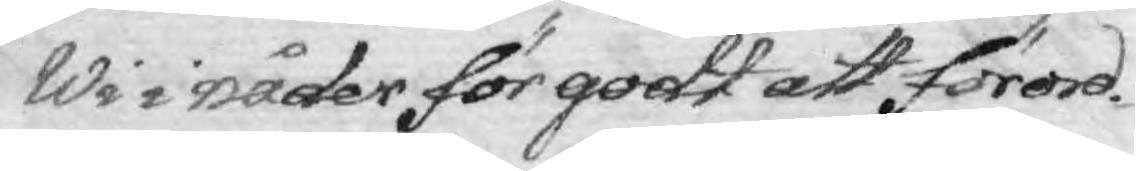Wi i nåder för godt att förord¬
